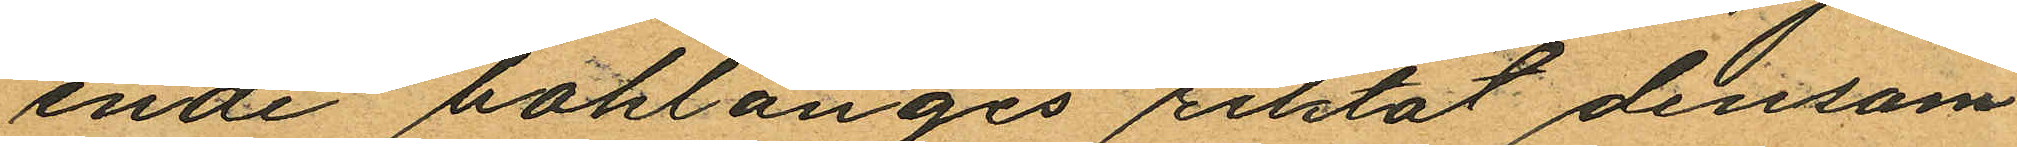ende baklänges riktat densam
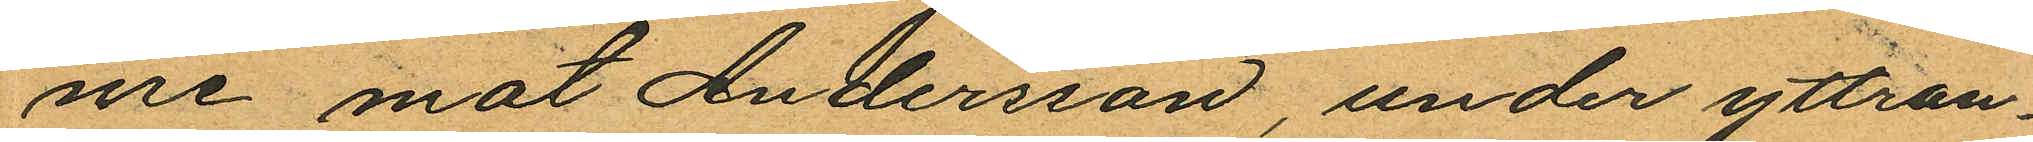me mot Andersson, under yttran¬
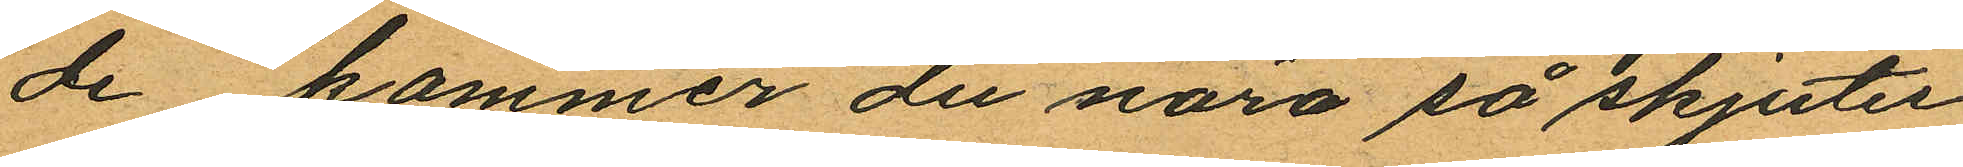de "kommer du nära så skjuter
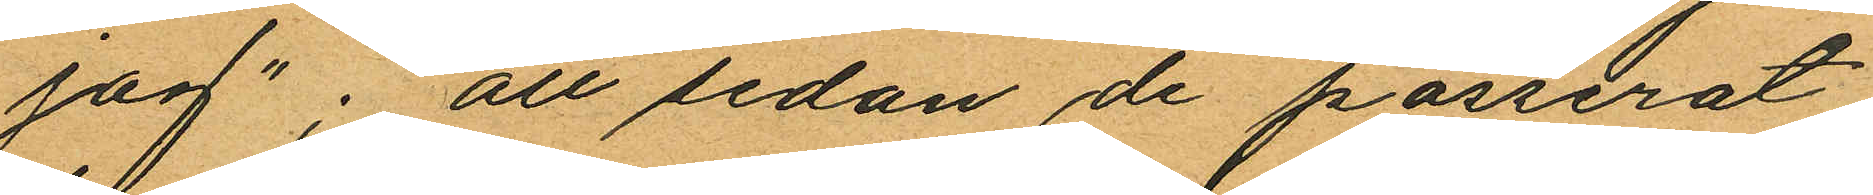jag"; att sedan de passerat
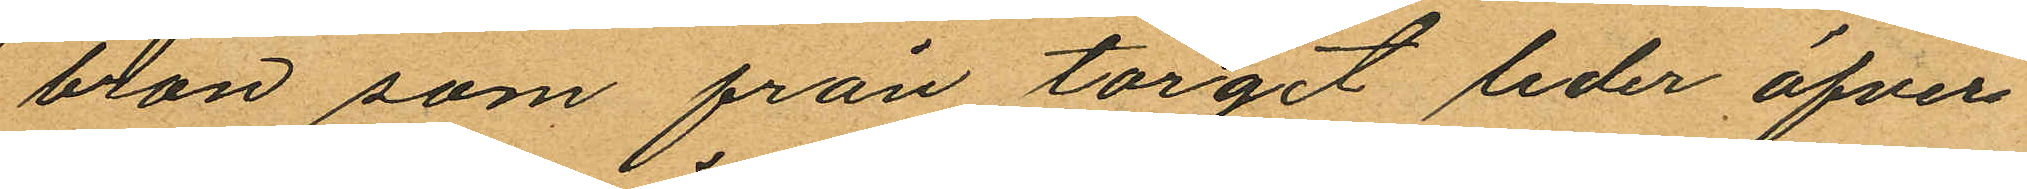bron som från torget leder öfver
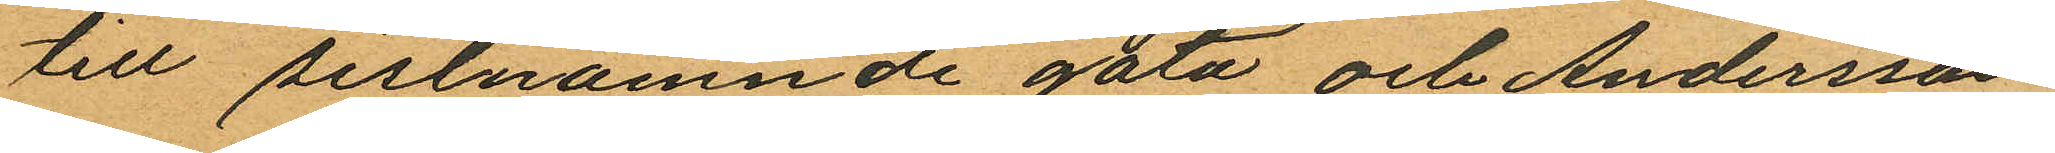till sistnämnde gata och Andersson
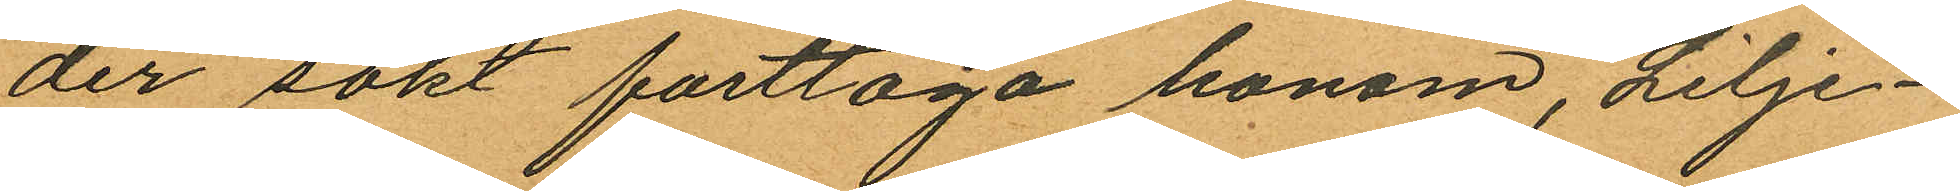der sökt fasttaga honom, Lilje¬
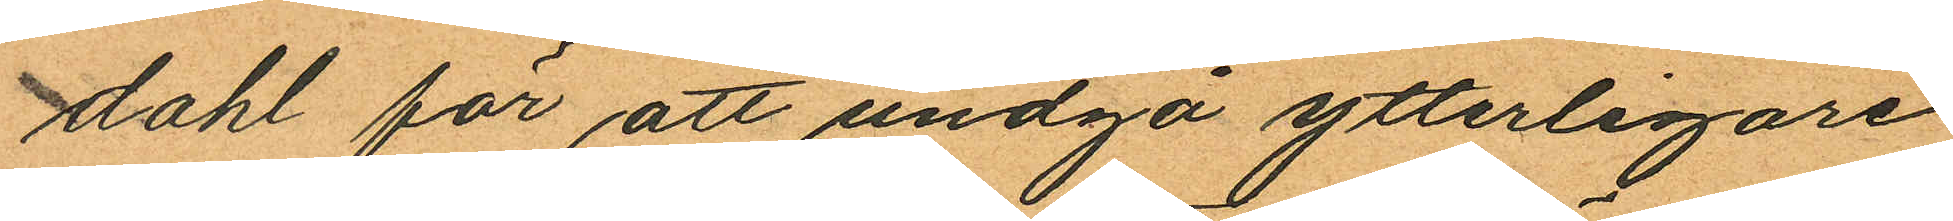dahl för att undgå ytterligare
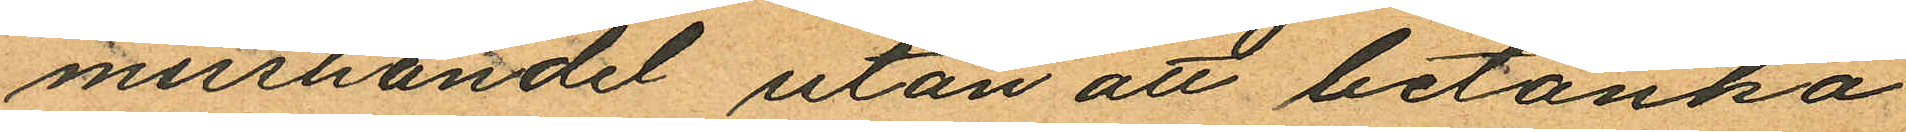misshandel utan att betänka
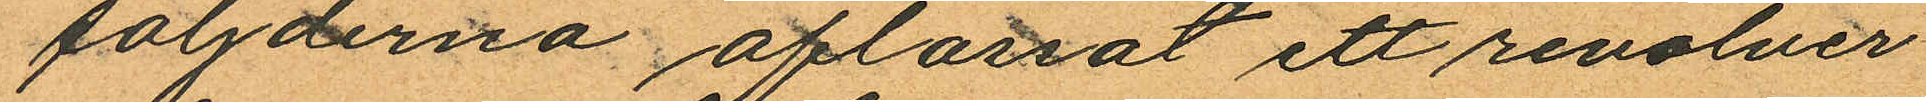följderna aflossat ett revolver
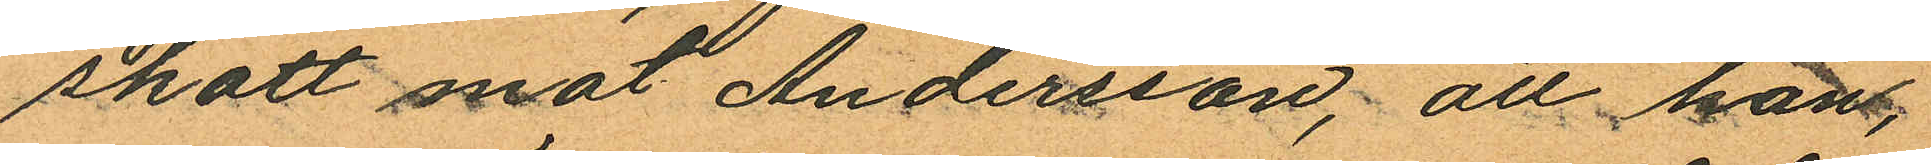skott mot Andersson, att han
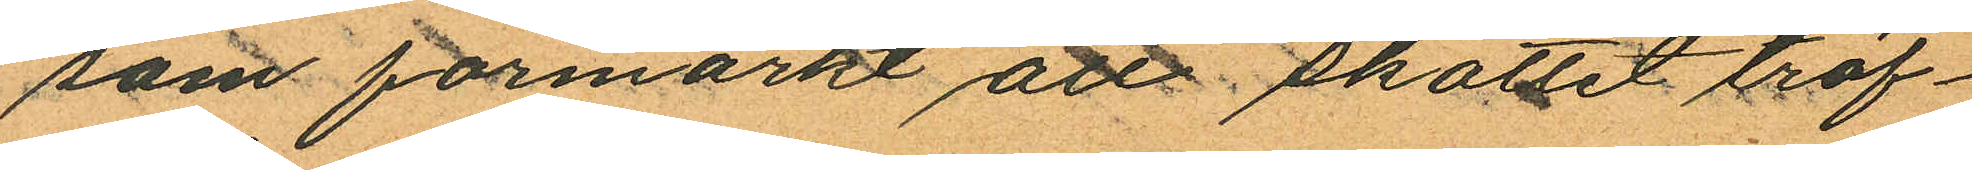som förmärkt att skottet träf¬
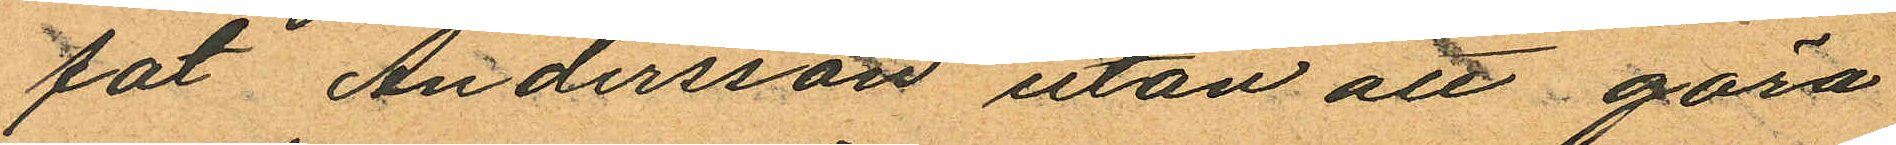fat Andersson utan att göra
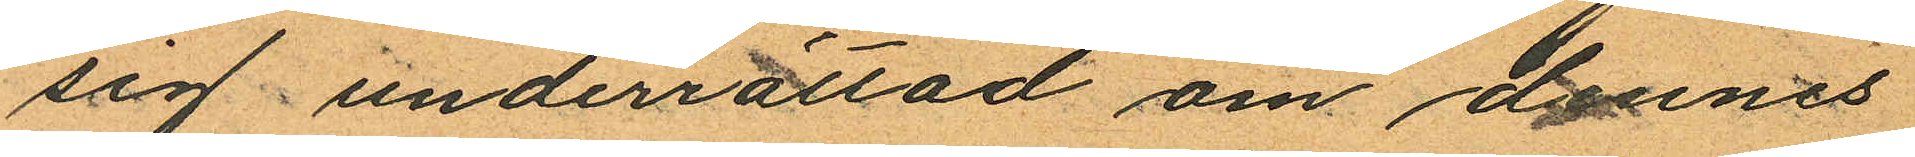sig underrättad om dennes
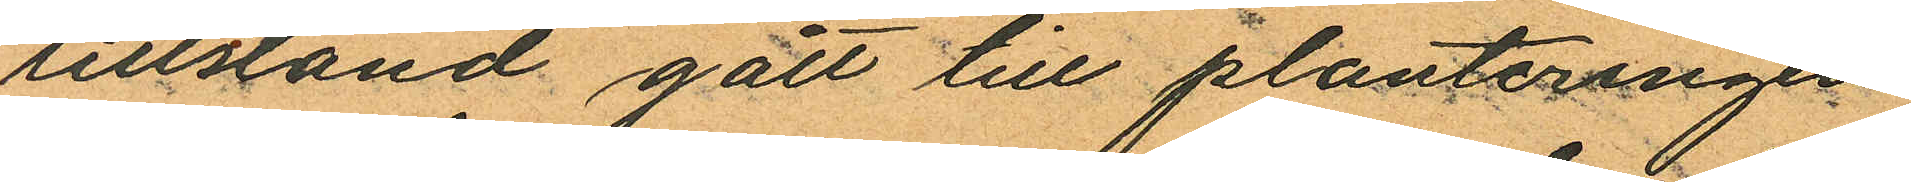tllstånd gått till planteringen
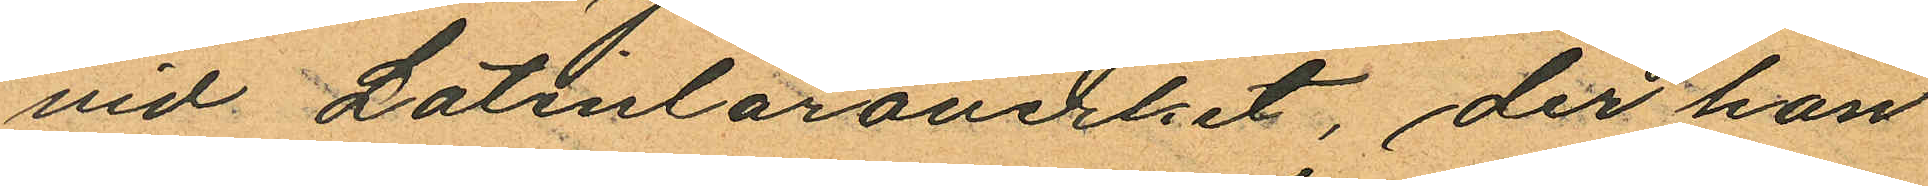vid Latinläroverket, der han
